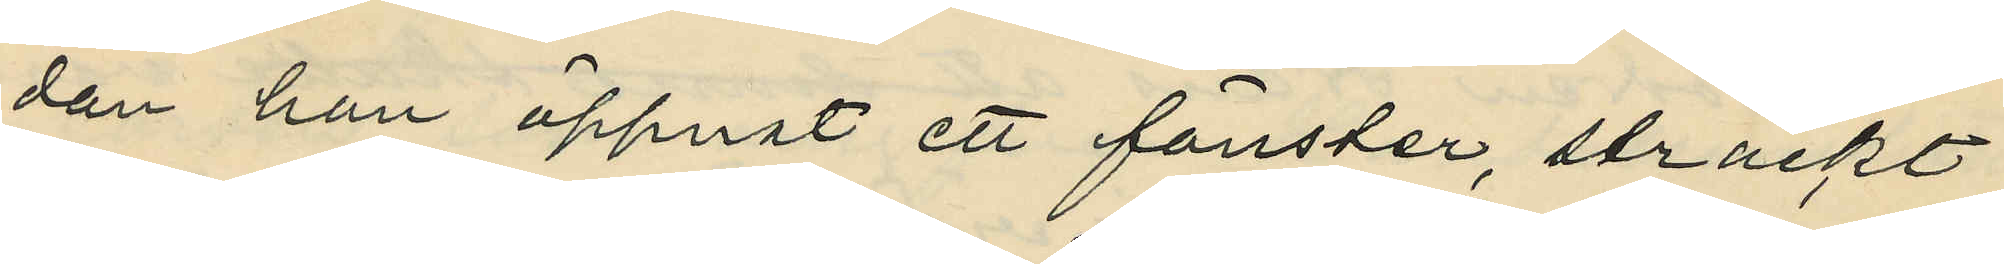dan han öppnat ett fönster, sträckt
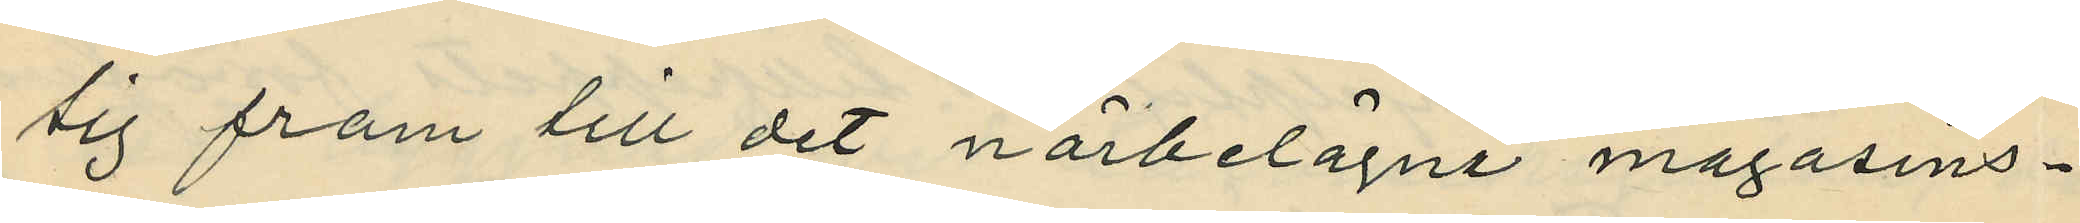sig fram till det närbetagna magasins¬
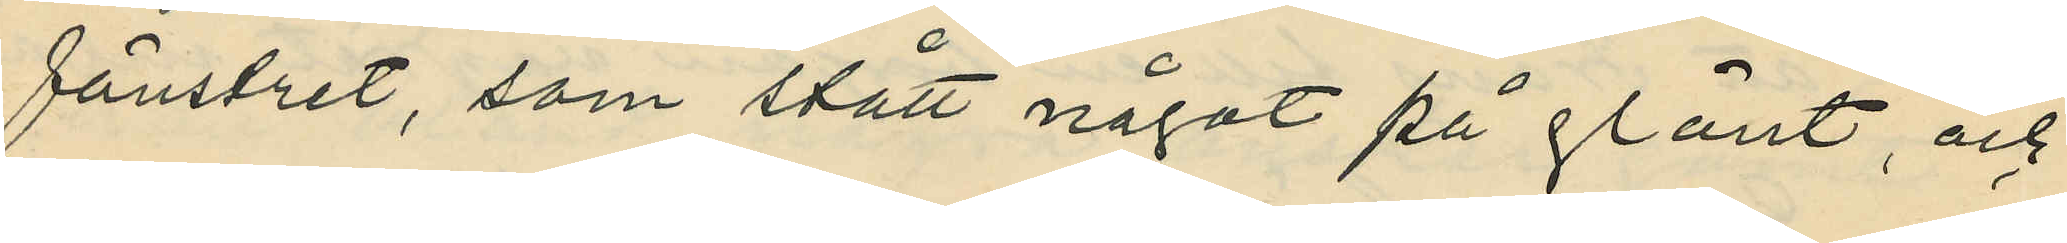fönstret, som stått något på glänt, och
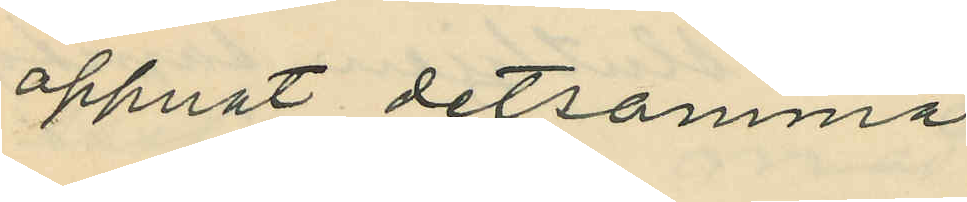öppnat detsamma;
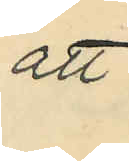att
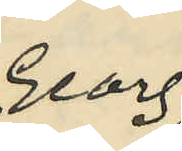Georg
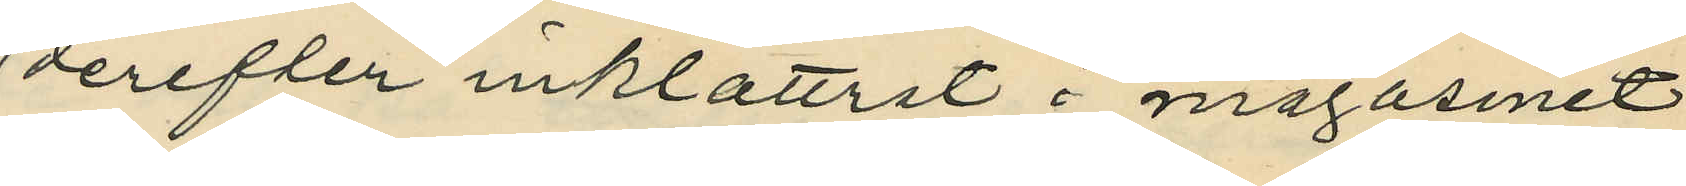derefter inklättrat i magasinet
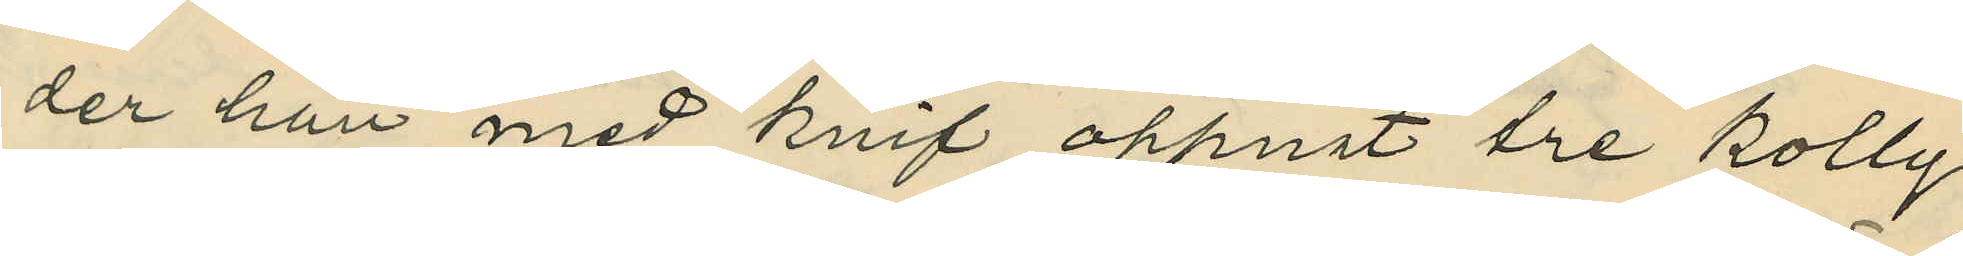der han med knif öppnat tre kolly
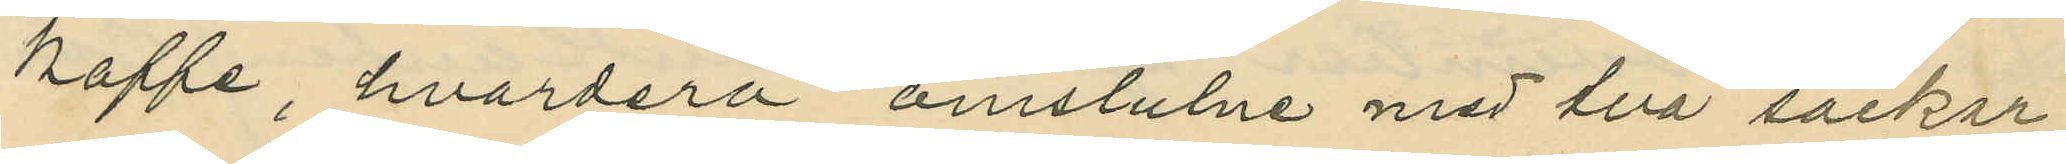kaffe, hvardera omslulne med två säckar;
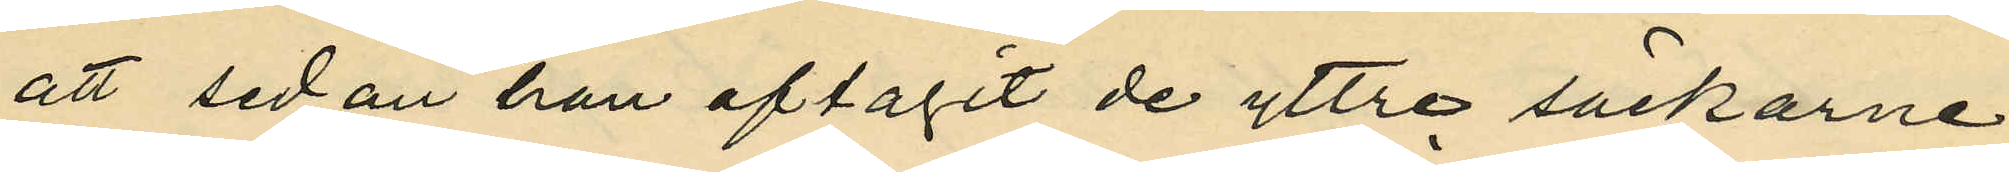att sedan han aftagit de yttre säckarne
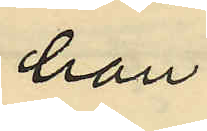han
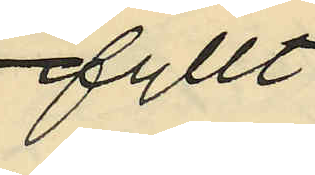ifyllt
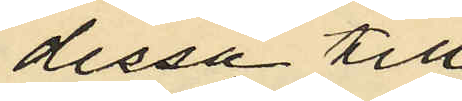dessa till
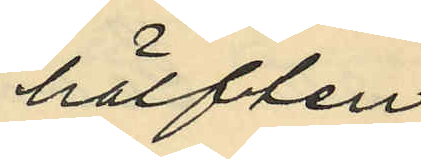hälften
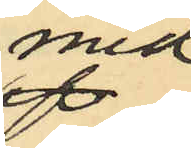med
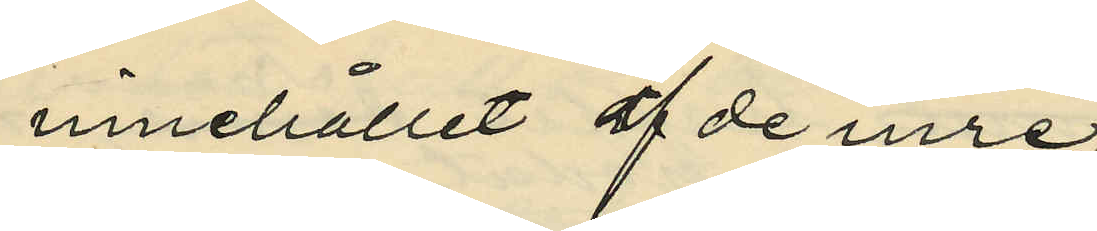innehållet af de inre,
